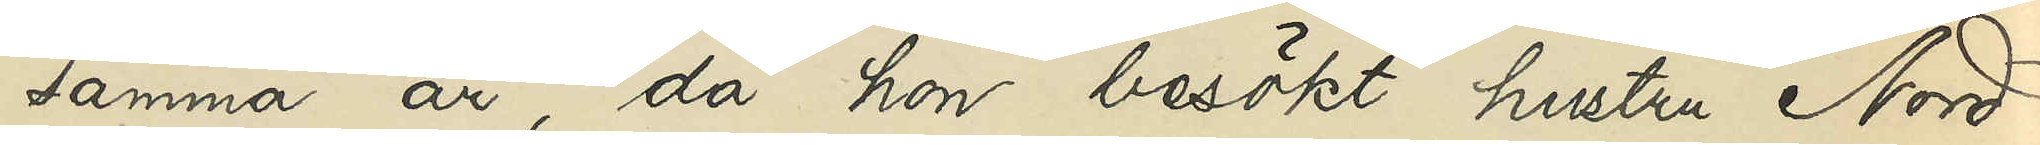samma år, då hon besökt hustru Nord
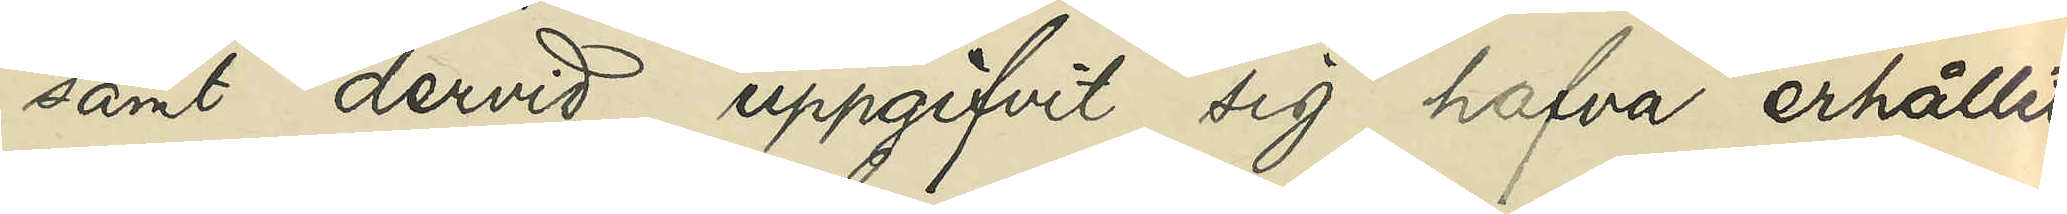samt dervid uppgifvit sig hafva erhållit
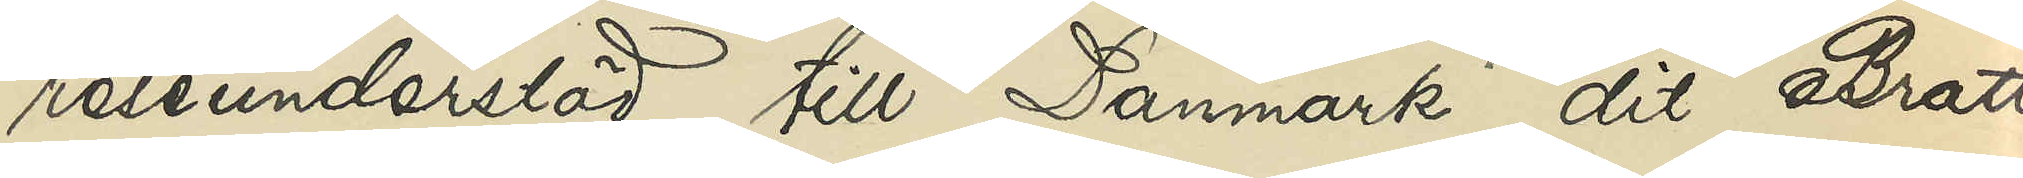reseunderstöd till Danmark, dit Bratt
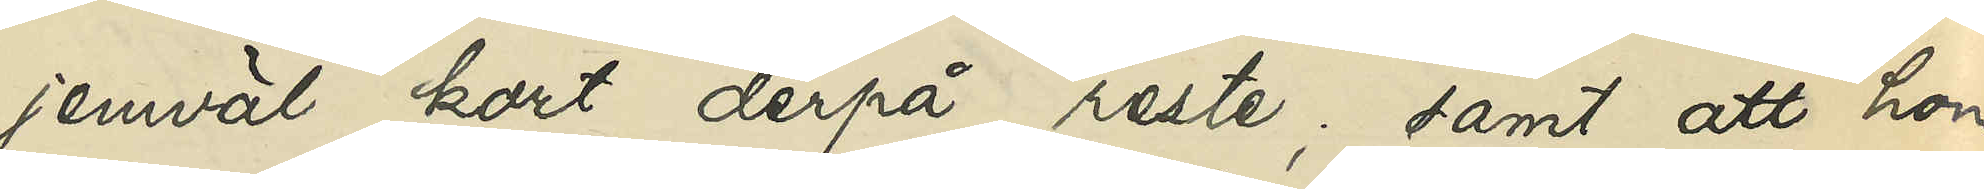jemväl kort derpå reste; samt att hon
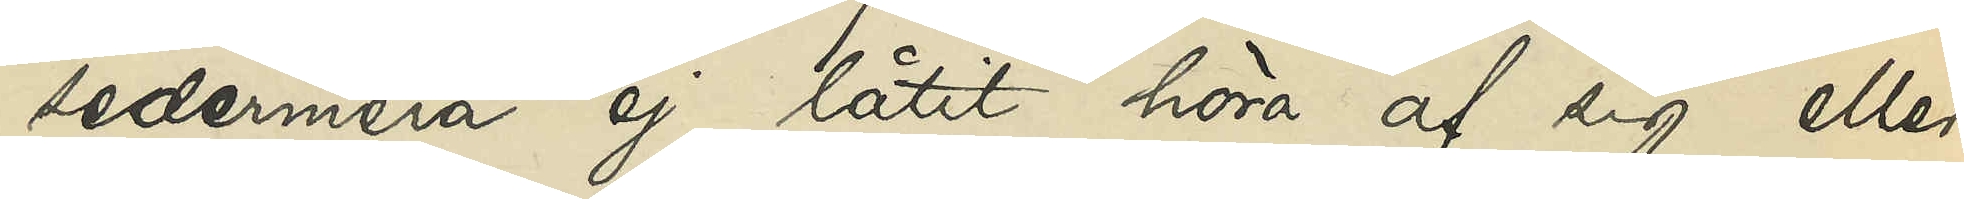sedermera ej låtit höra af sig eller
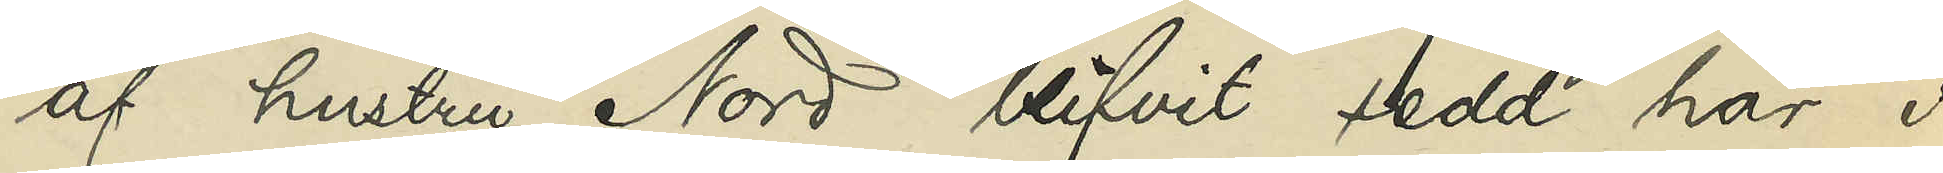af hustru Nord blifvit sedd här i
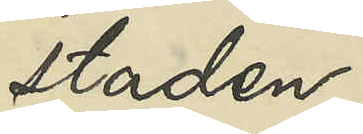staden.
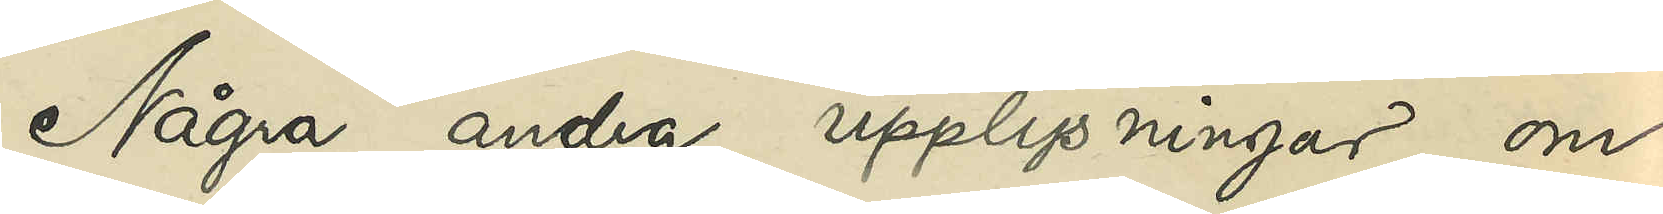Några andra upplysningar om
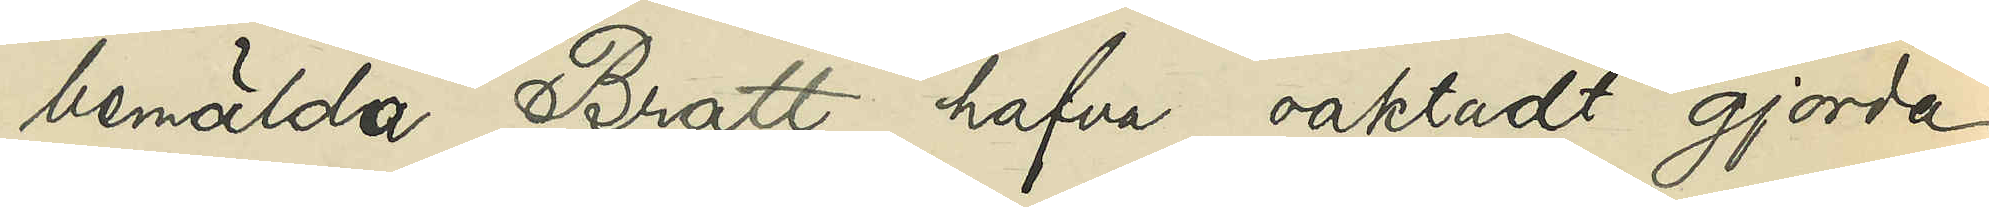bemälda Bratt hafva oaktadt gjorda
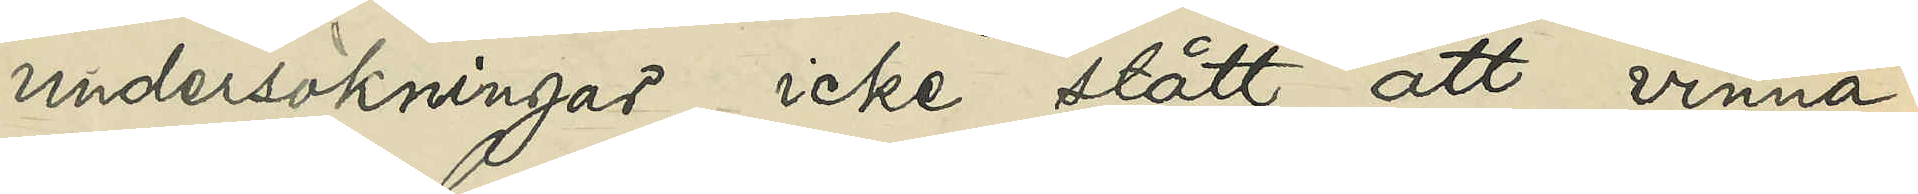undersökningar icke stått att vinna.
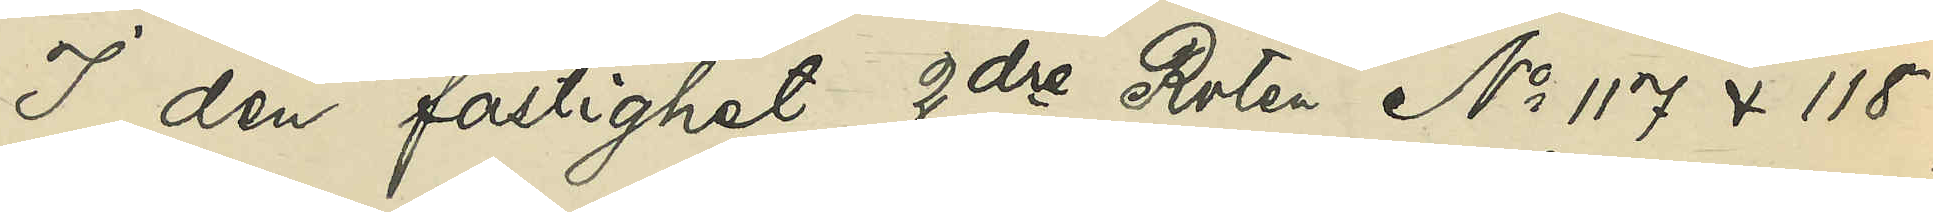I den fastighet, 2dre Roten No 117 & 118,
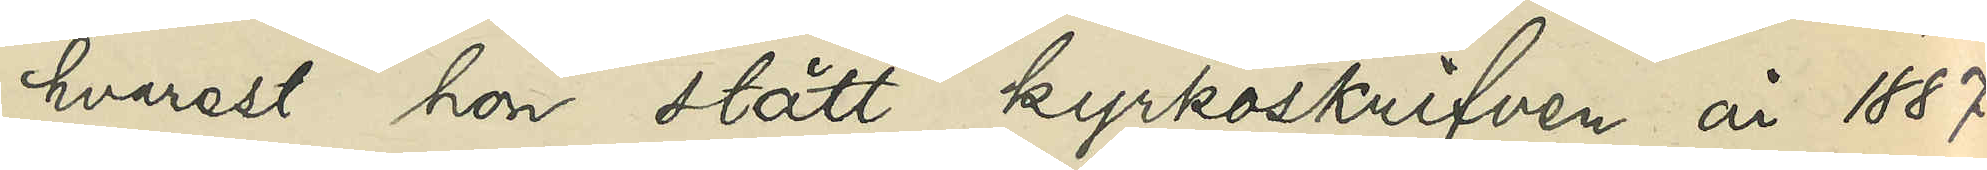hvarest hon stått kyrkoskrifven år 1887,
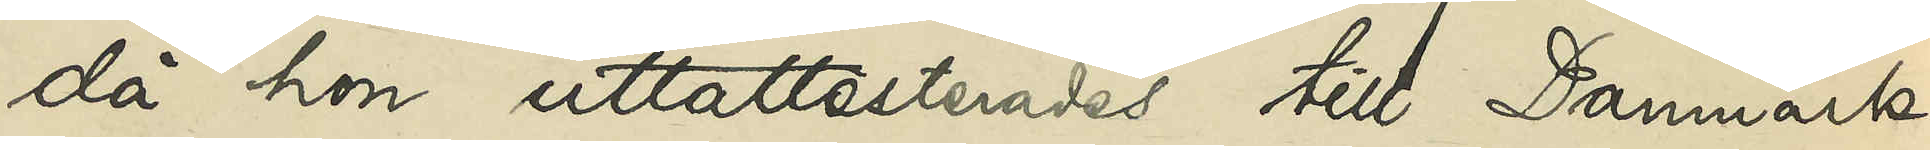då hon uttattesterades till Danmark,
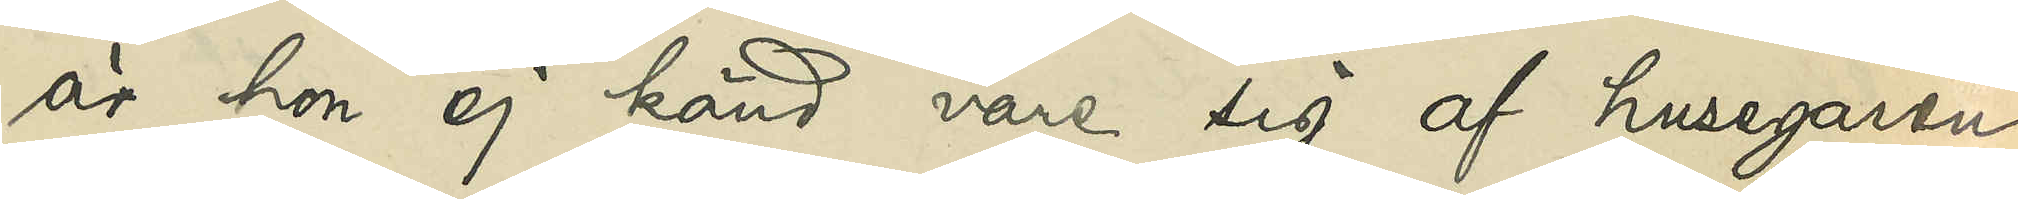är hon ej känd vare sig af husegaren
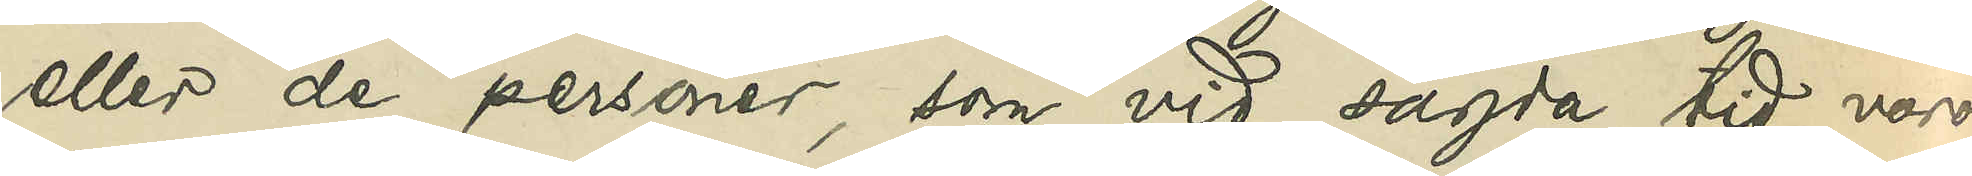eller de personer, som vid sagda tid voro
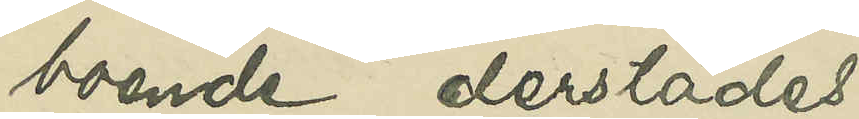boende derstädes.
